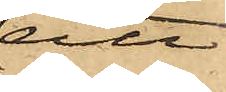att
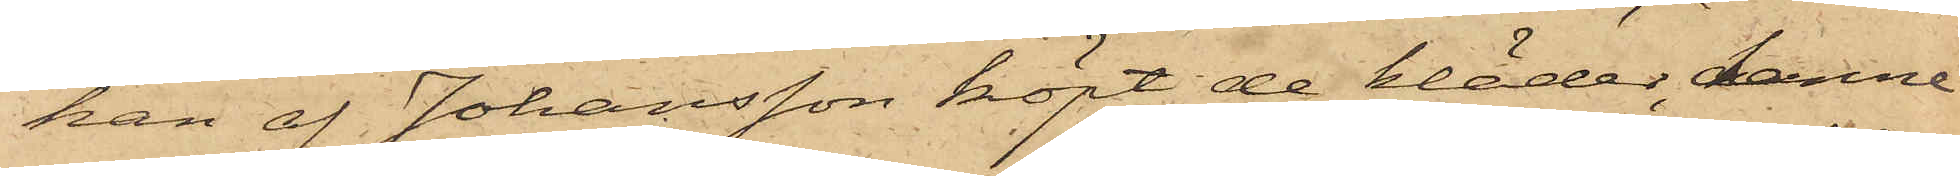han af Johansson köpt de kläder, denne
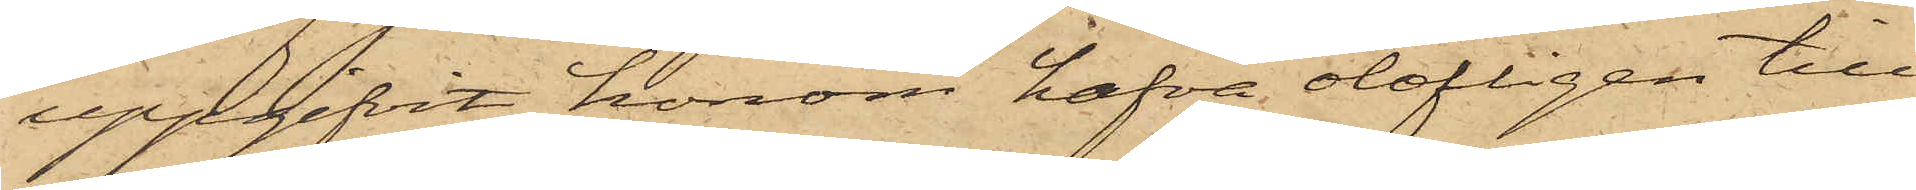uppgifvit honom hafva olofligen till¬
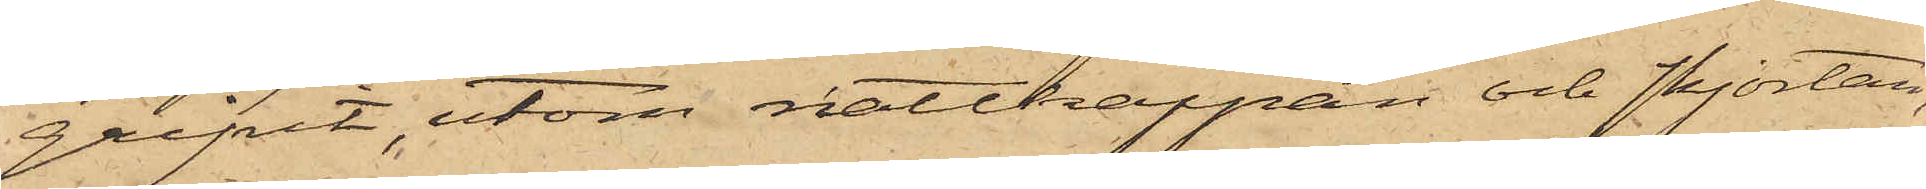gripit, utom nattkappan och skjortan,
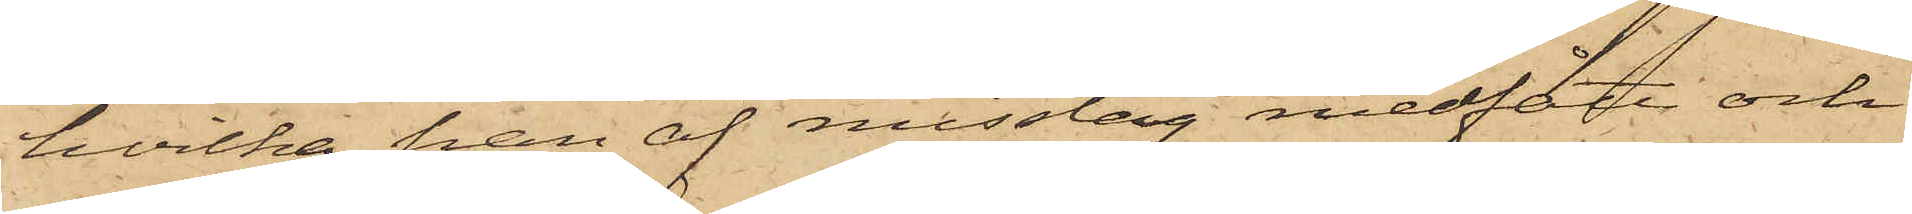hvilka han af misstag medfått och
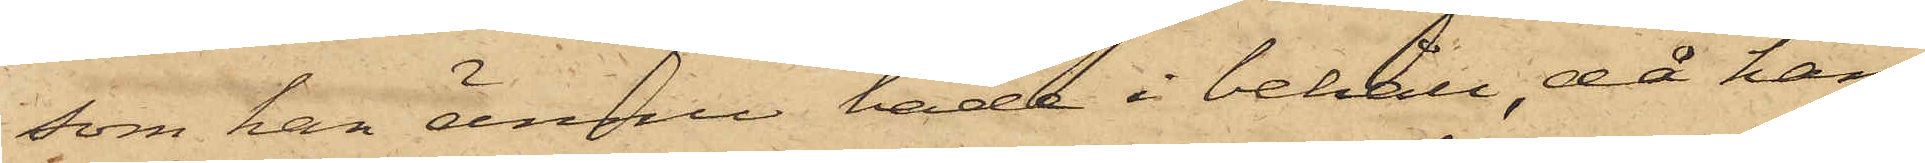som han ännu hade i behåll, då han
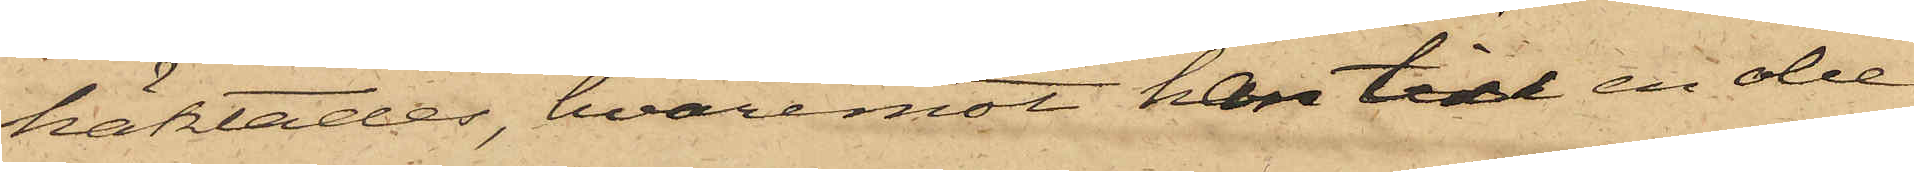häktades, hvaremot han till en obe¬
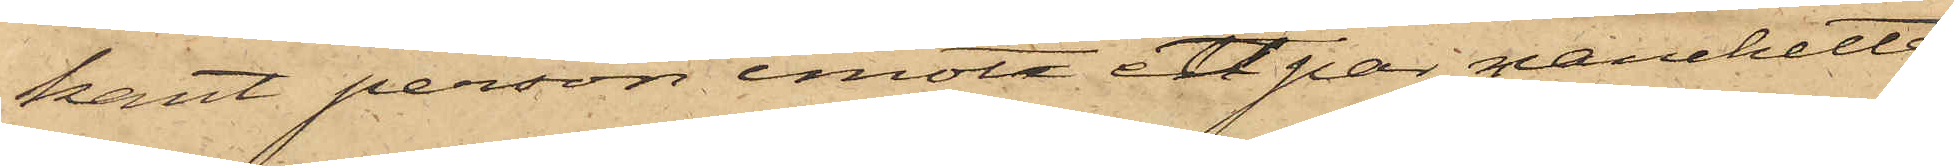kant person emot ett par manchetter
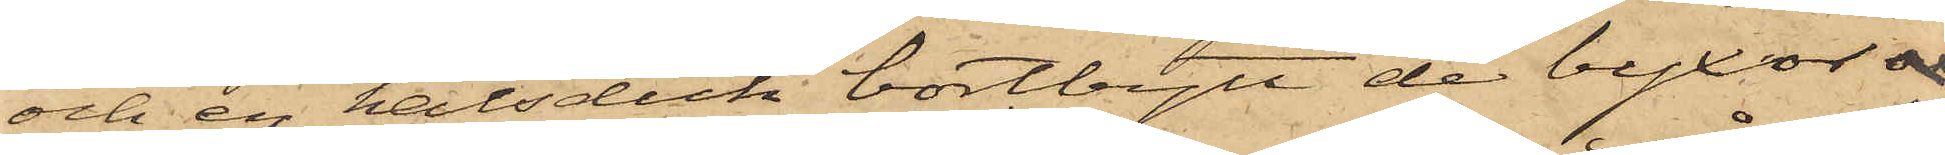och en halsduk bortbytt de byxor
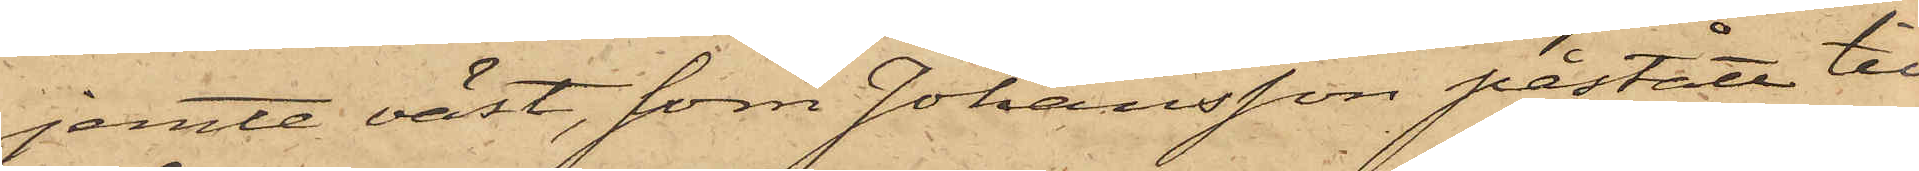jemte väst, som Johansson påstått till¬
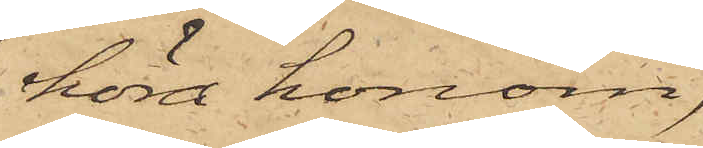höra honom,
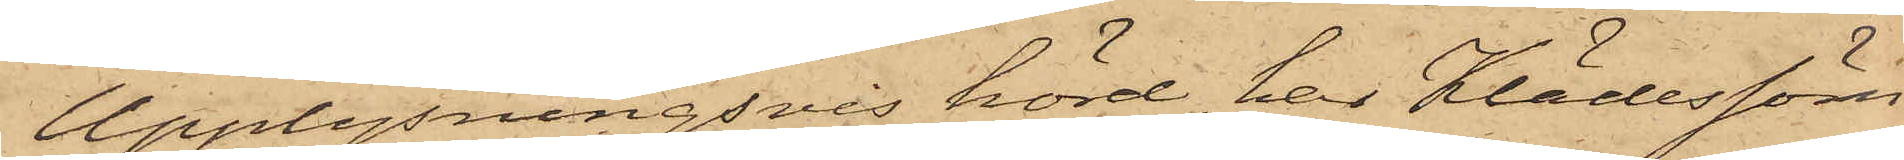Upplysningsvis hörd, har Klädessöm¬
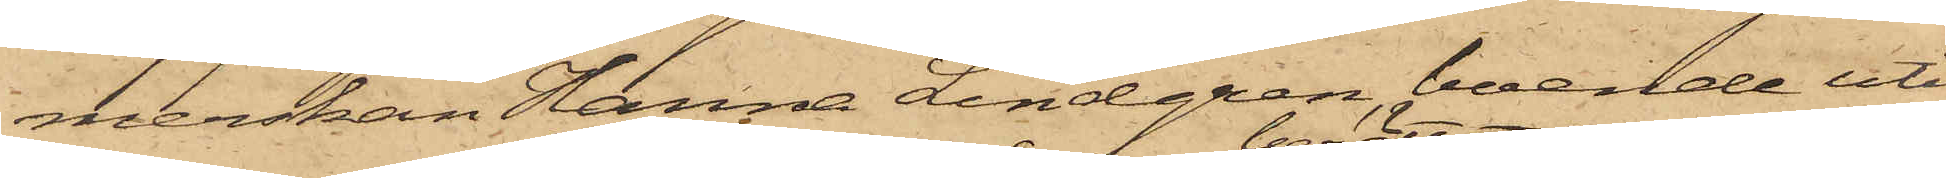merskan Hanna Lindgren, boende uti
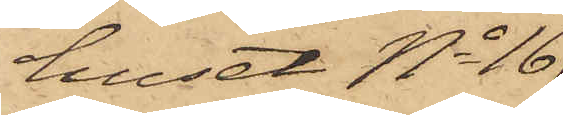huset No 16
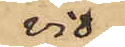vid
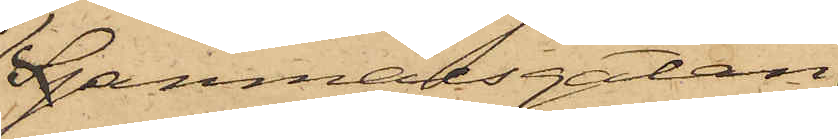Spanmålsgatan
